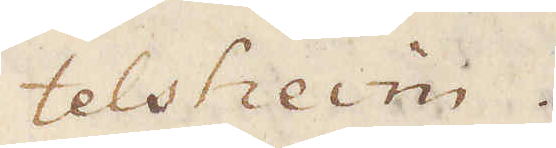telsheim.
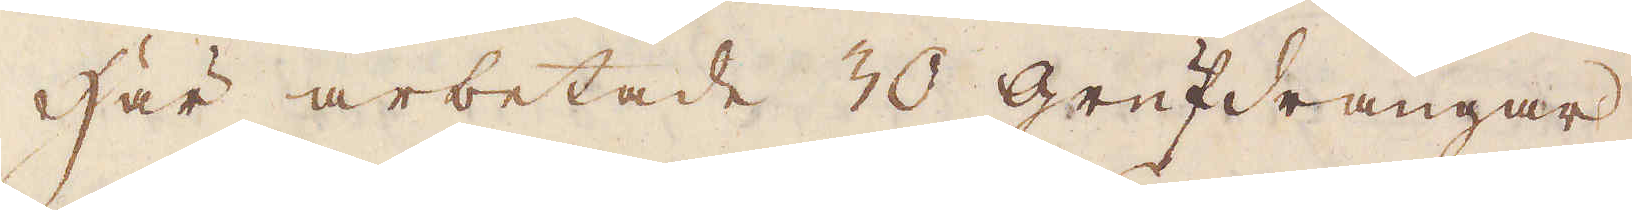Här arbetade 30 Grufdrängar,
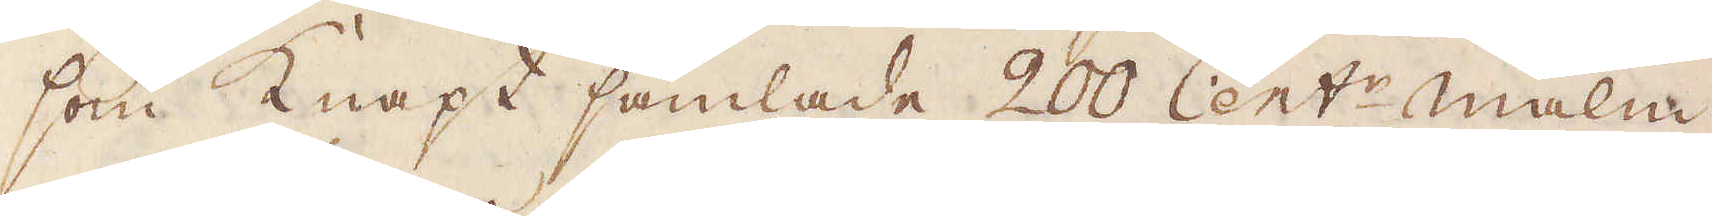som knapt samlade 200 Cent:r malm
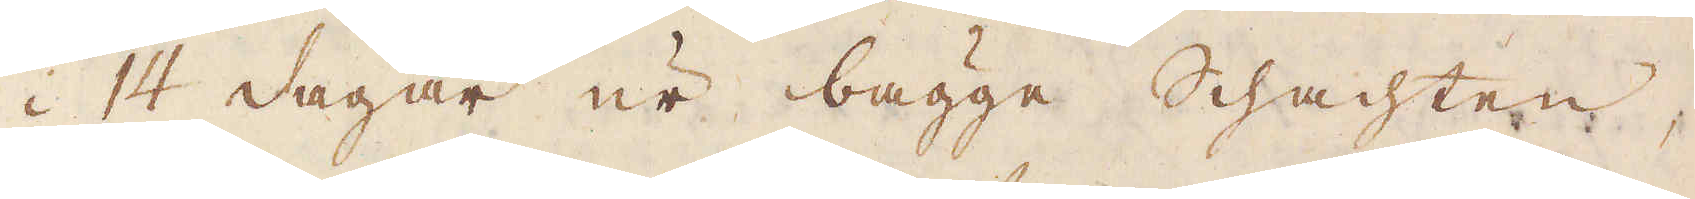i 14 dagar ur bägge schachten,
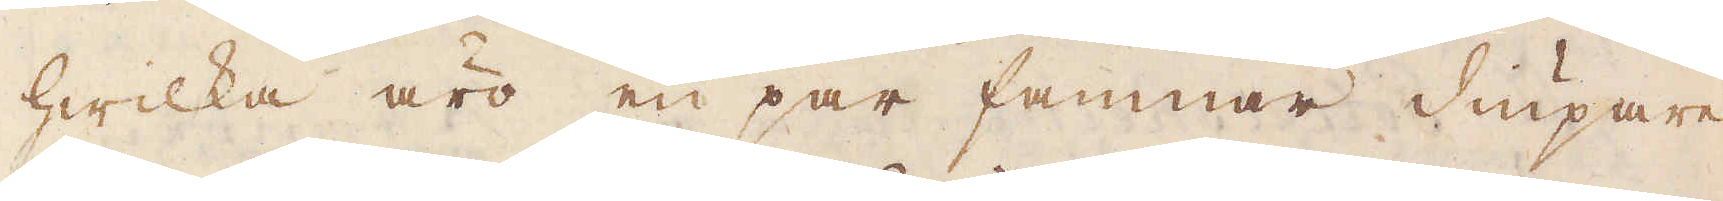hwilka äro en par famnar diupare
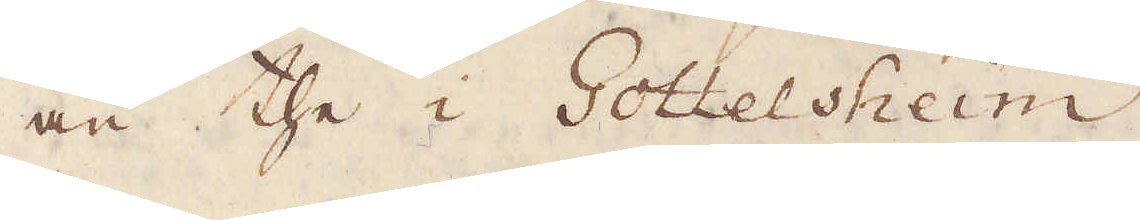än the i Gottelsheim
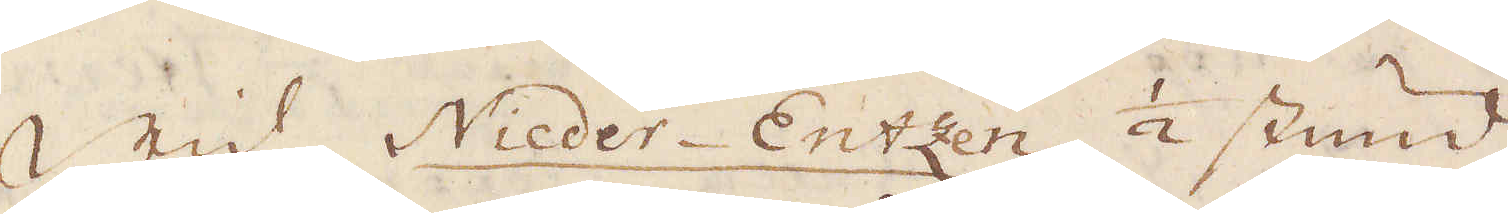Wid Nieder-Entzen 1/2 stund
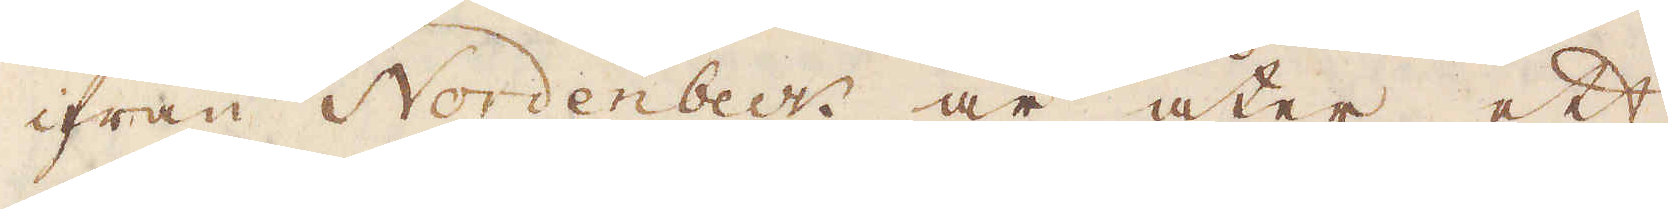ifrån Nordenbeck är åter ett
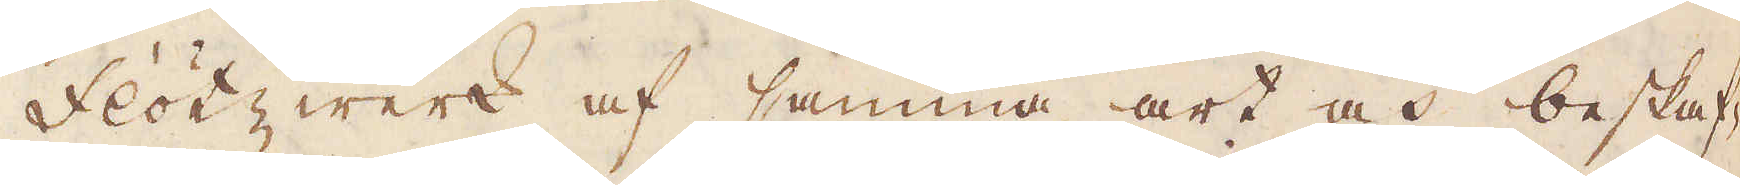flötzwerk af samma art och beskaf-
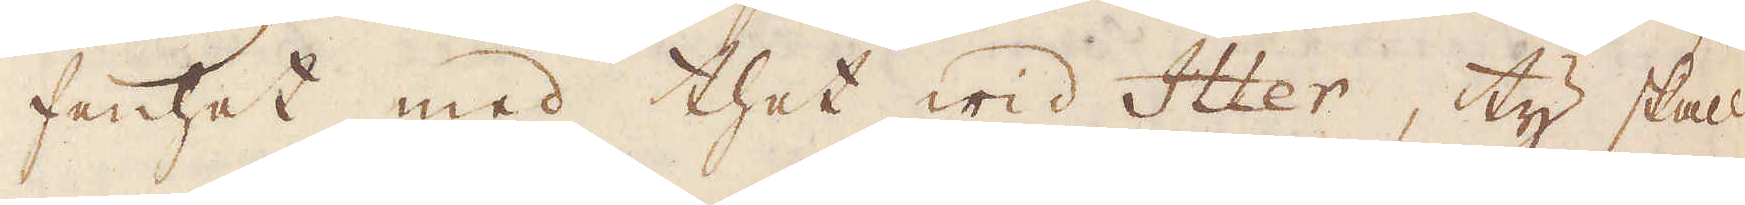fenhet med thet wid Itter, ty skall
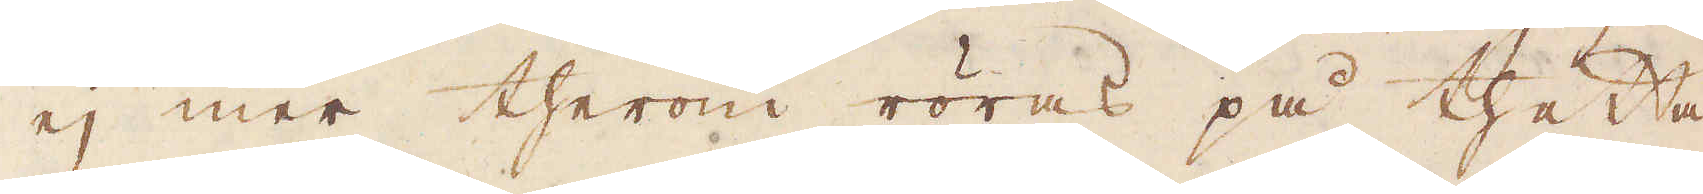ej mer therom röras på thetta
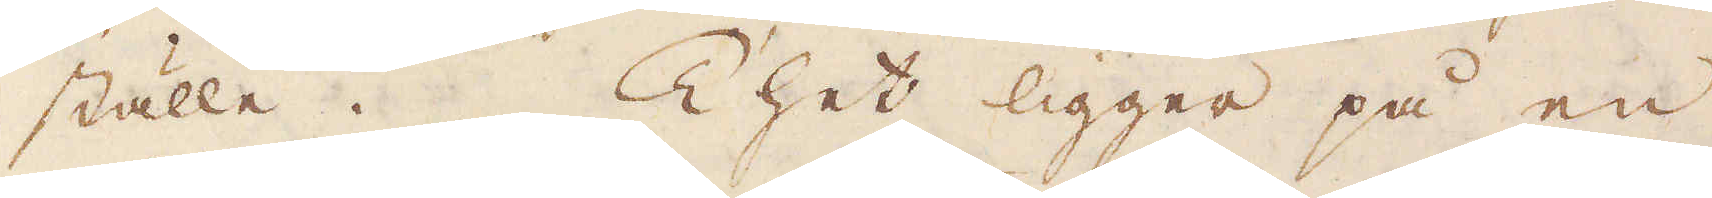ställe. Thet ligger på en
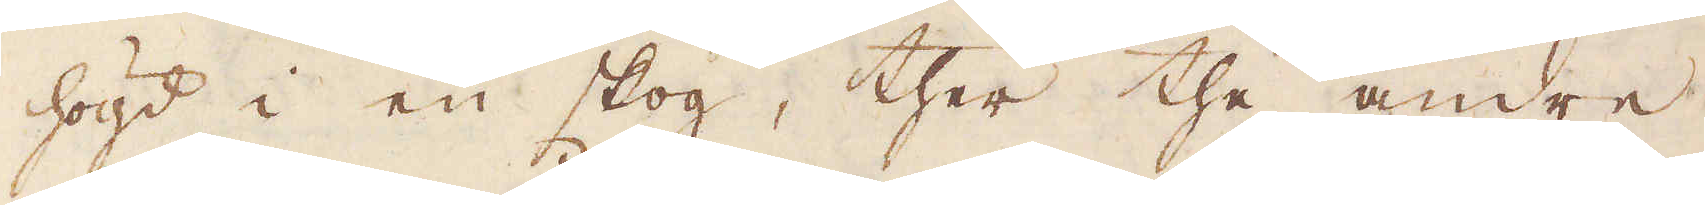högd i en skog, ther the andre
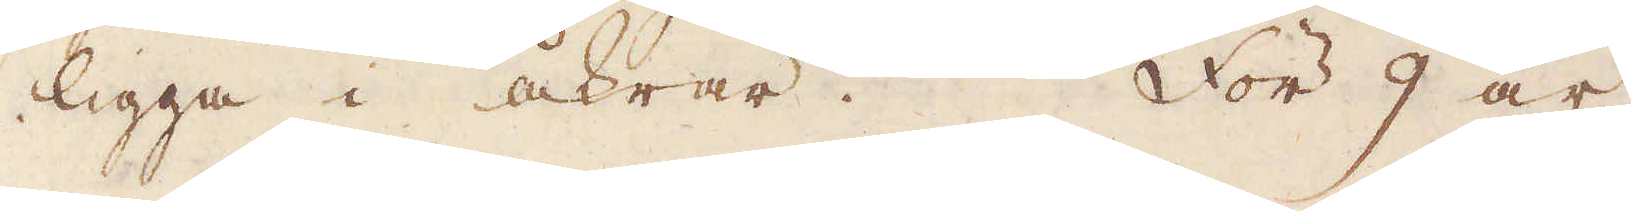ligga i åkrar. För 9 år
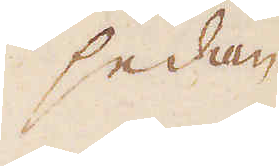sedan
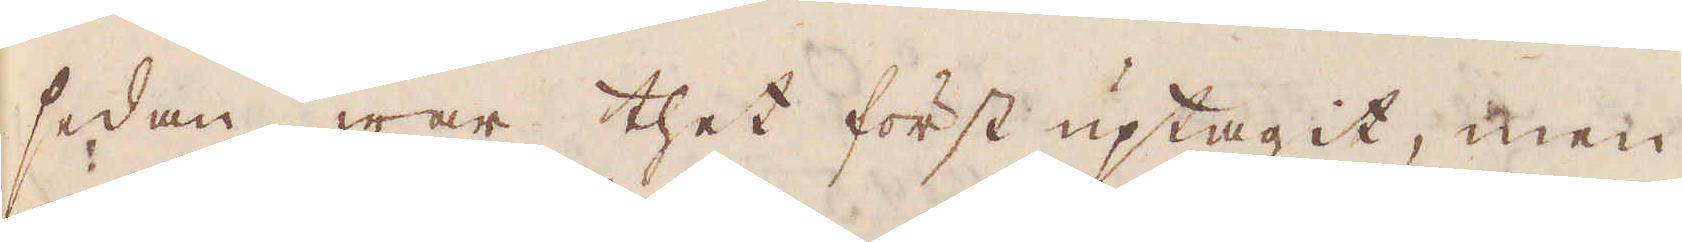sedan war thet först uptagit, men
